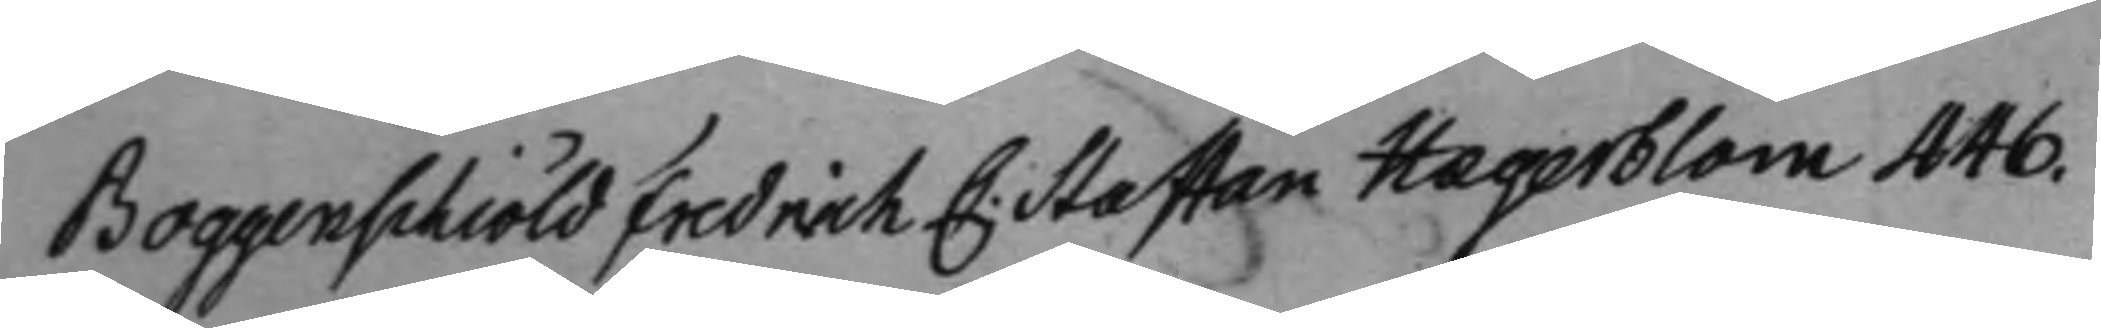Boggenschiöld Fredrich C: Staffan Hægerblom 446.
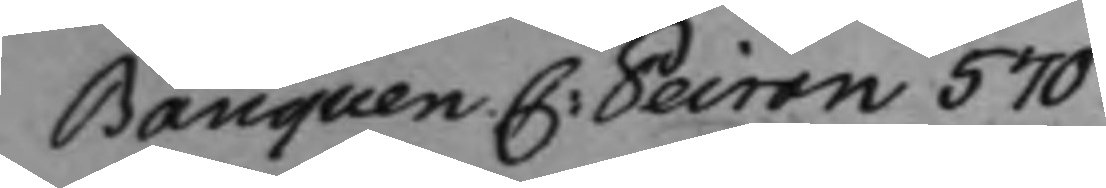Banquen C: Peiron 570
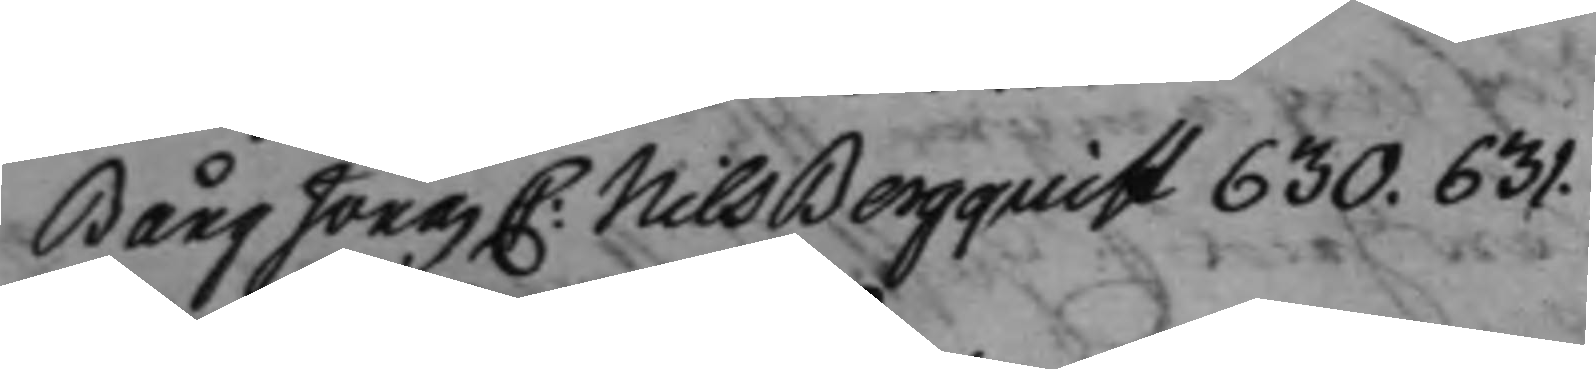Bång Jonas C: Nils Bergquist 630. 631.
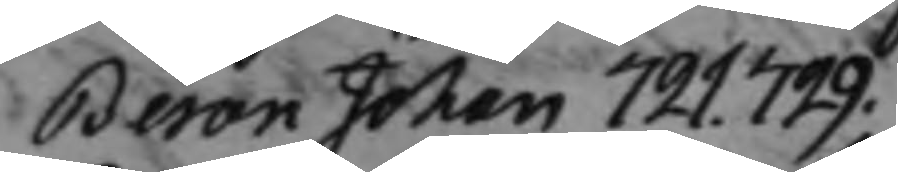Beron Johan 721. 729.
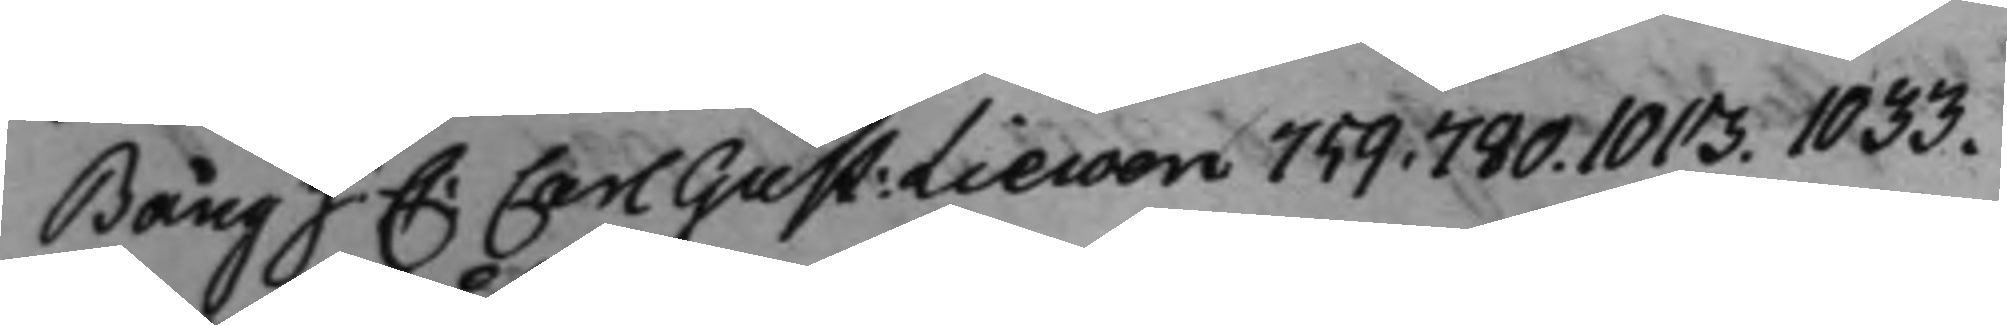Bång J: C: Carl Gust: Liewen 759. 780. 1013. 1033.
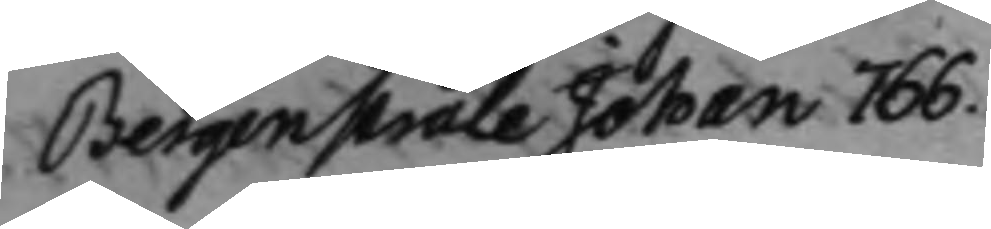Bergenstråle Johan 766.
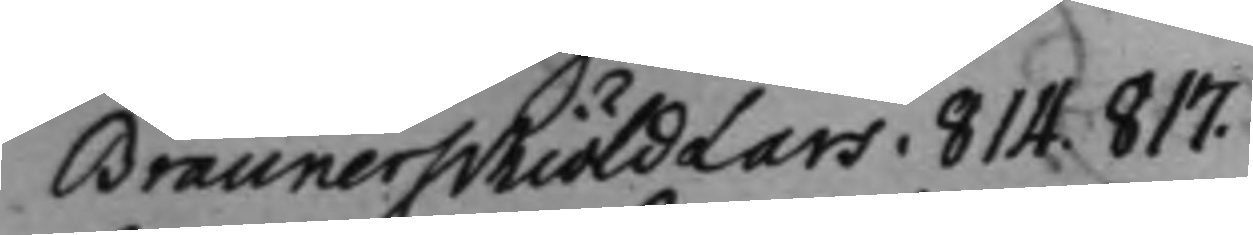Braunerschiöld Lars. 814. 817.
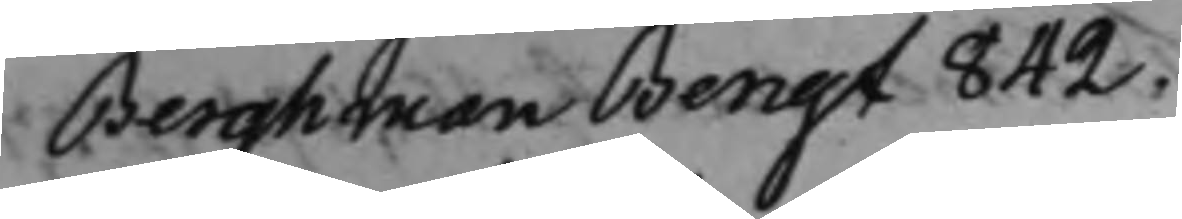Berghman Bengt 842.
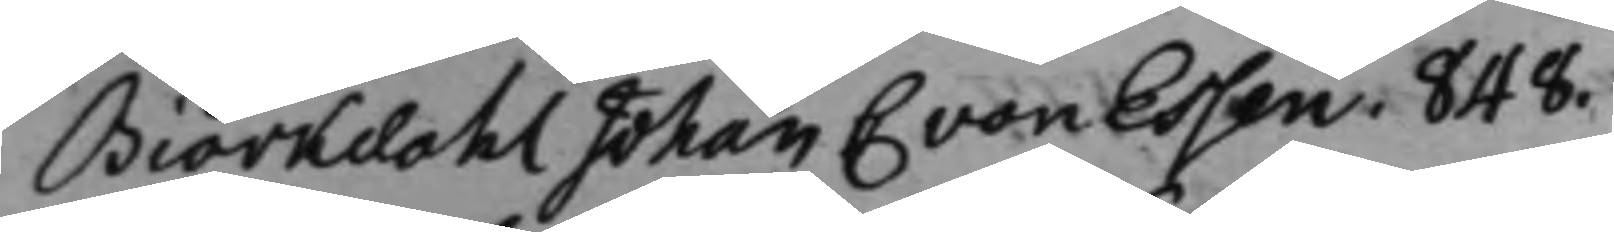Biörkdahl Johan C von Essen. 848.
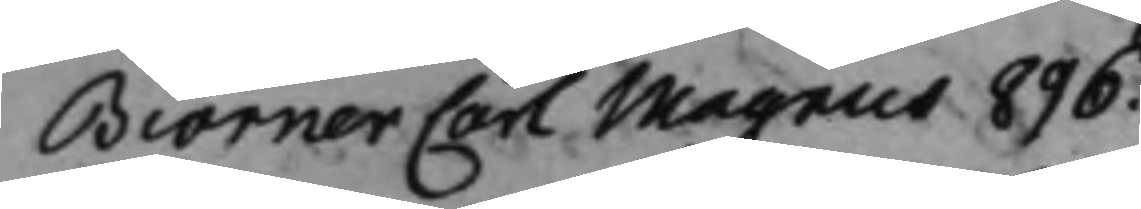Biörner Carl Magnus 896.
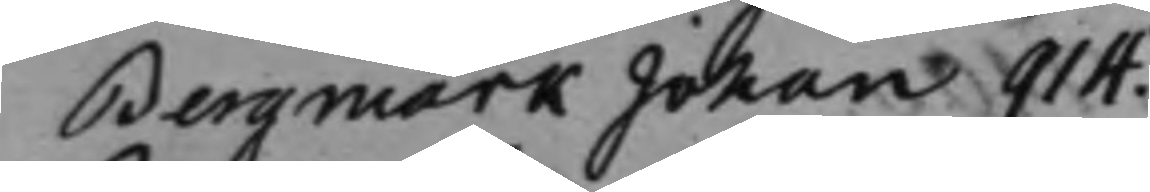Bergmark Johan 914.
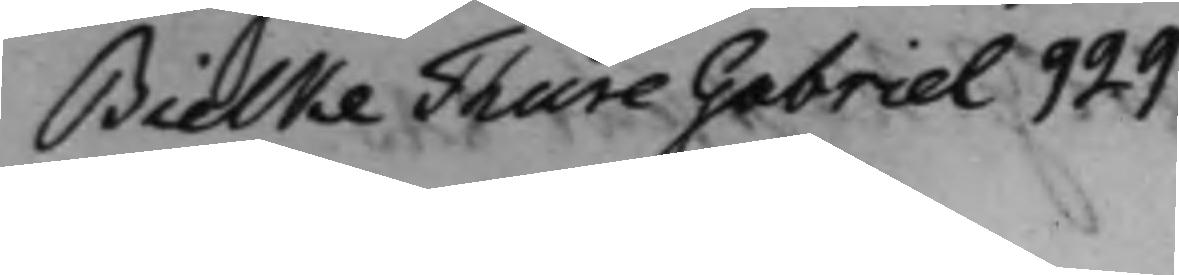Bielke Thure Gabriel 929
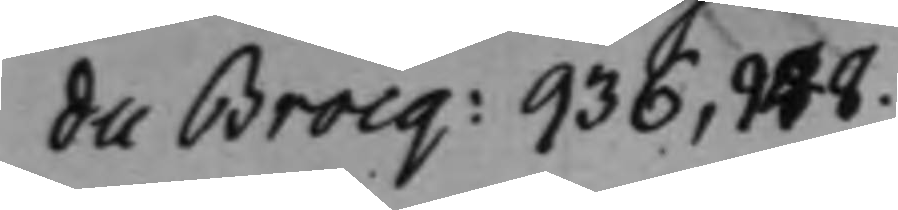du Brocq: 936, 948.
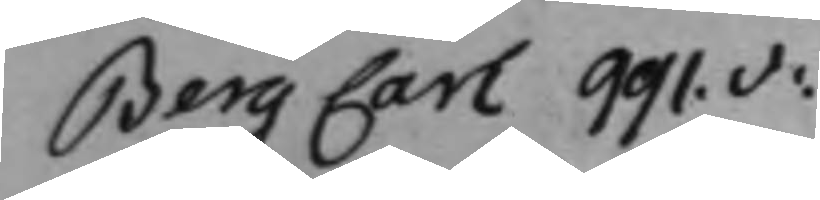Berg Carl 991.v:
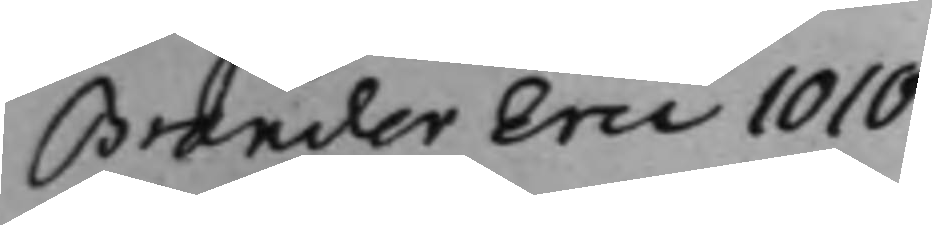Brander Eric 1010
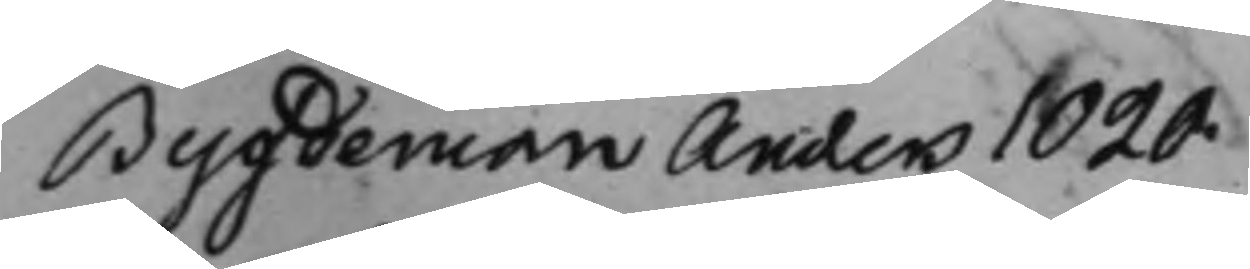Bygdeman Anders 1020.
